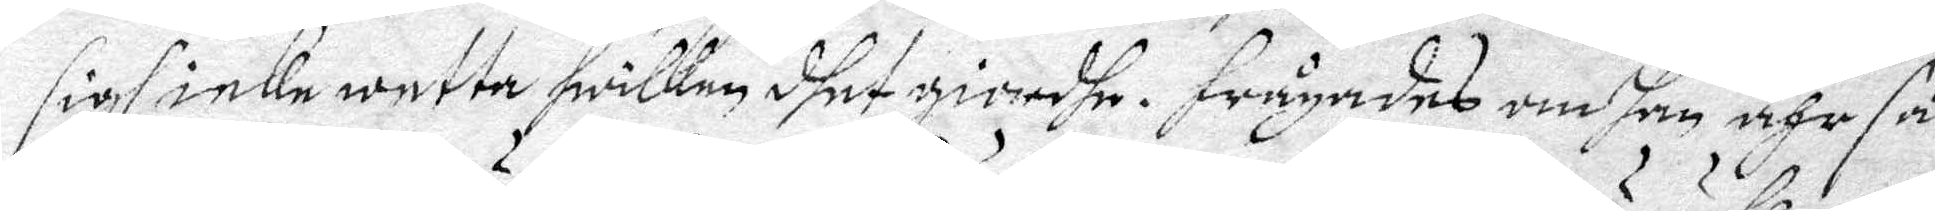sigh icke wetta hwilken dhet giordhe. frågades om han ähr så
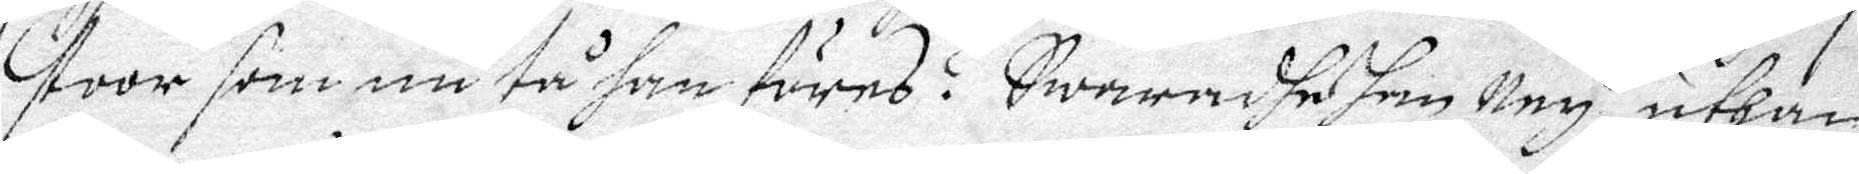stoor som nu tå han föres? Swaradhe han Ney, uthan
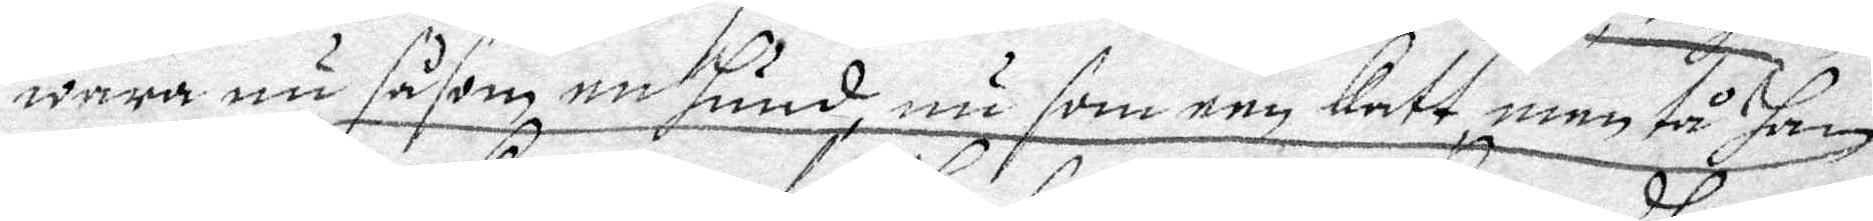wara nu såsom nu hund, nu som een Katt, men tå han
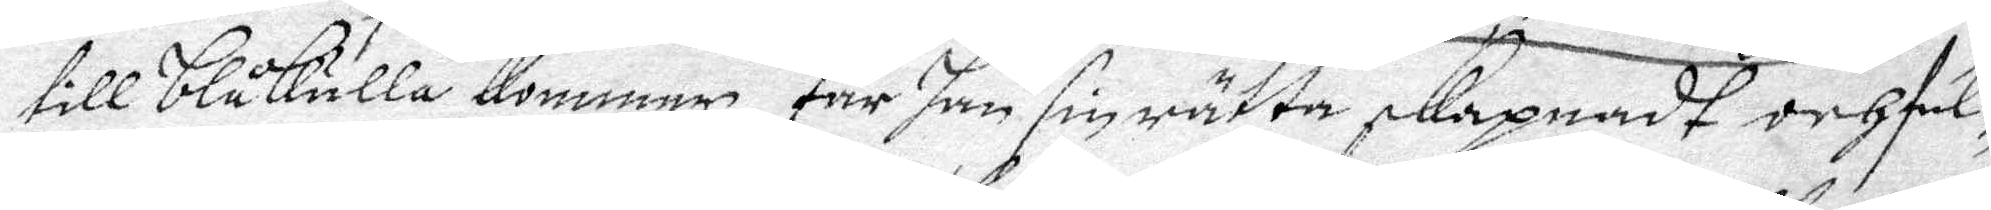till Blåkulla kommer, får han sin rätta skapnadt och ful¬
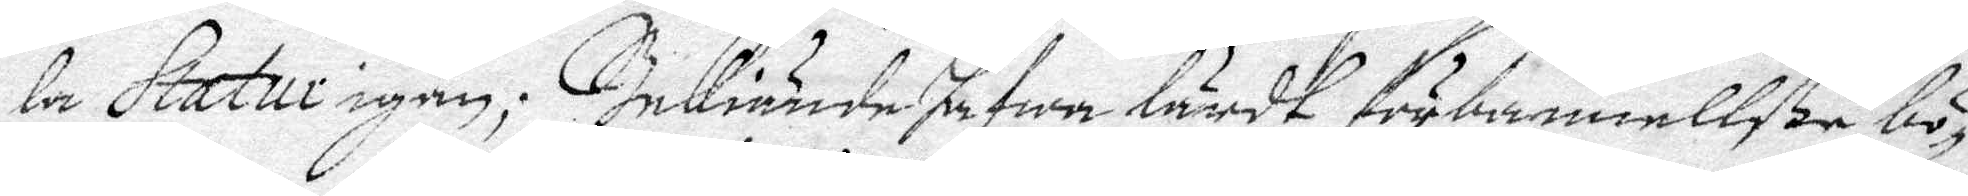le Statur igen; Bekiände hafwa lärdt förbannellße bö¬
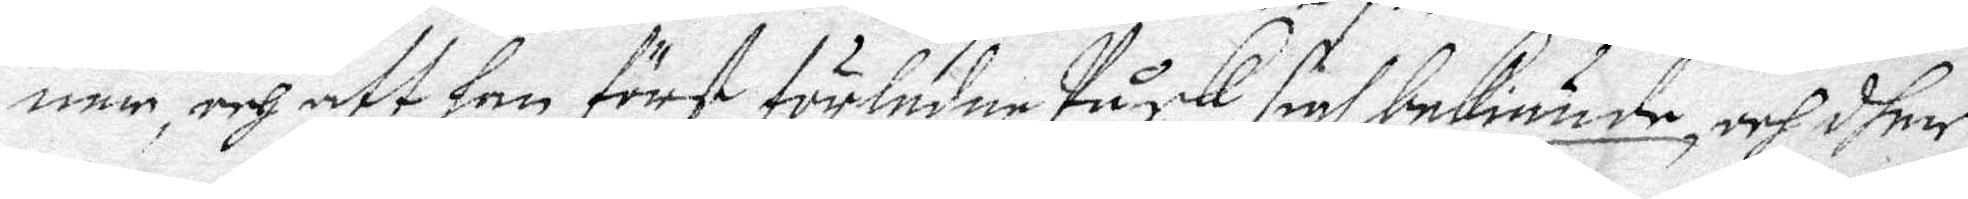nen, och att han först förledne Påsk sigh bekiände, och dher
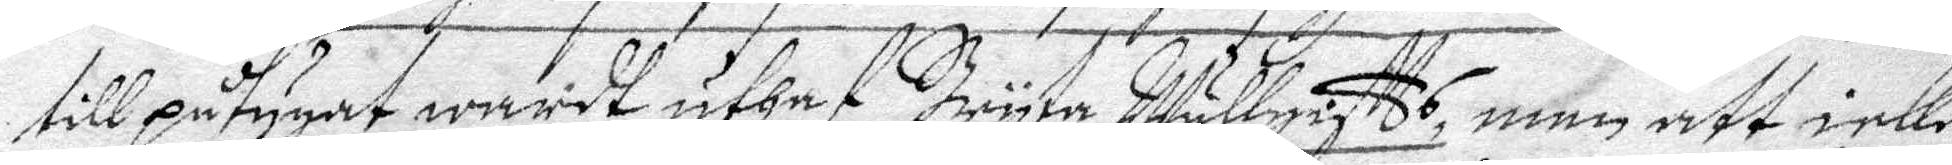till påtygat wardt uthaaf Bryta Mullgistts, men att icke
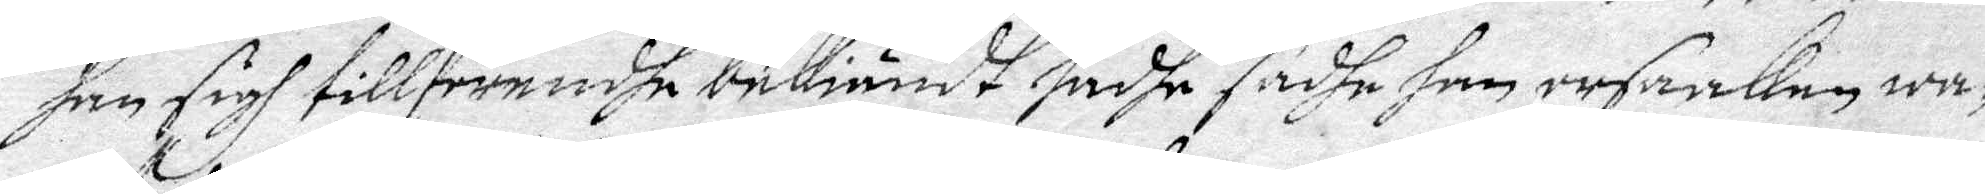han sigh tillförendhe bekiändt hadhe sadhe han orsaken wa¬
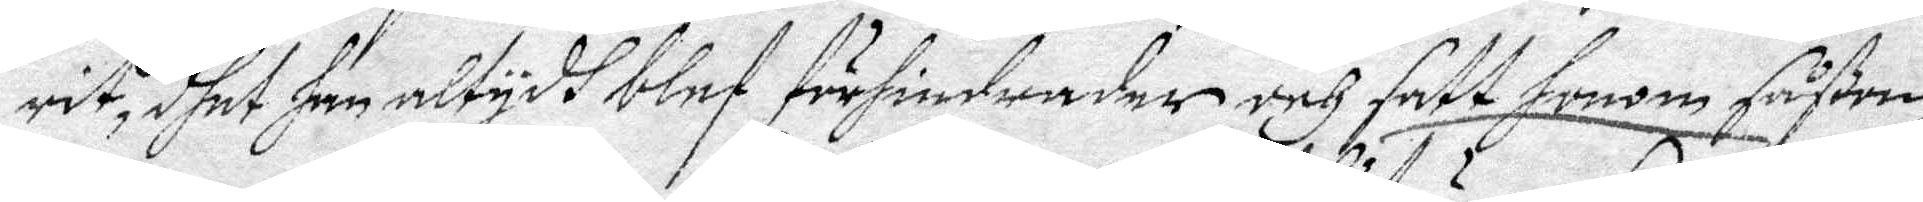rit, dhet han altydh blef förhindrader och satt honom såßom
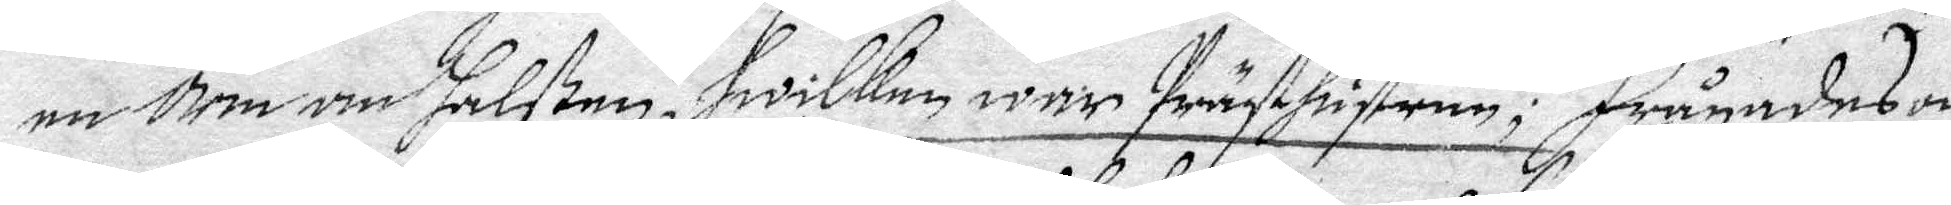en orm om halsen, hwilken war Prästhustrun; frågades om
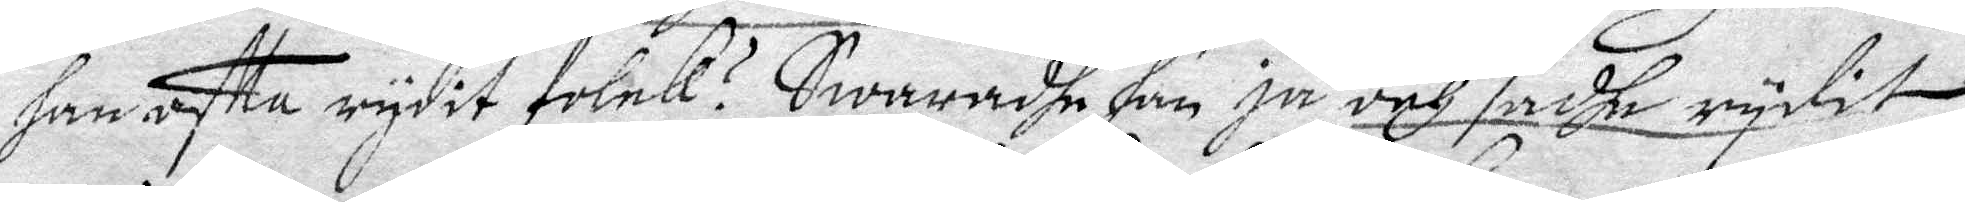han ofta rydit folck? Swaradhe han ja och sadhe rydit
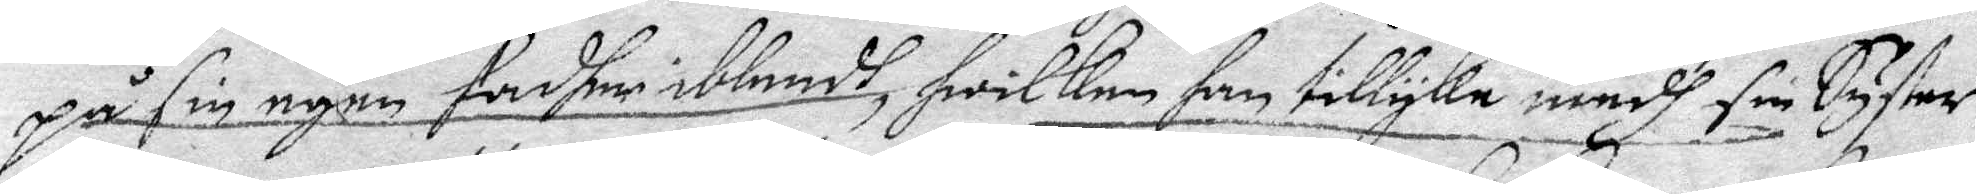på sin egen fadher iblandh, hwilken han tillyka medh sin Syster
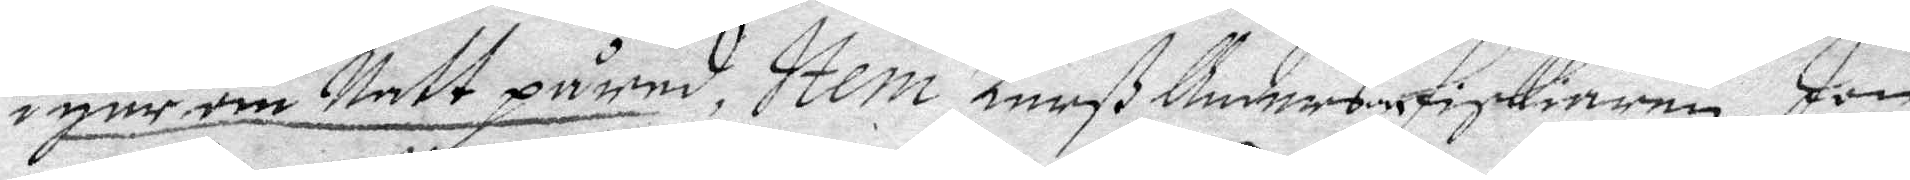i går om Natt på red, Item Larß Anderson fiskiaren, Jon
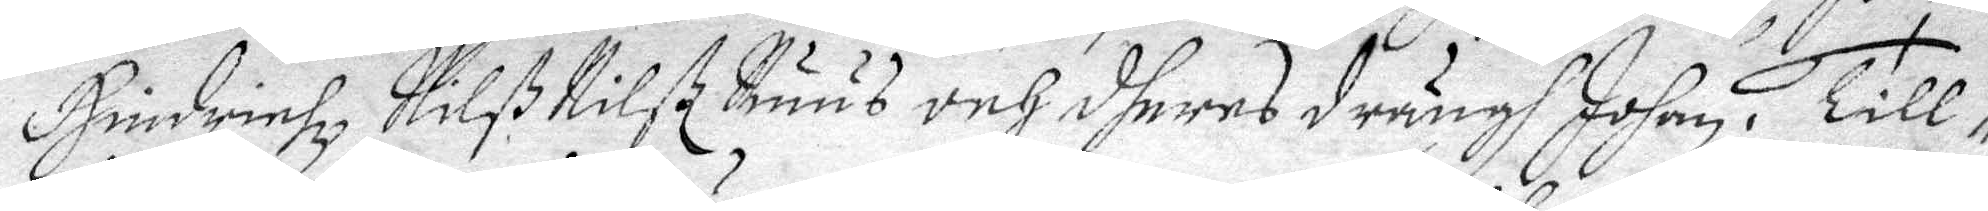Hindrinhz, Nilß Nilß Buus och dheras drängh Johen, Till¬
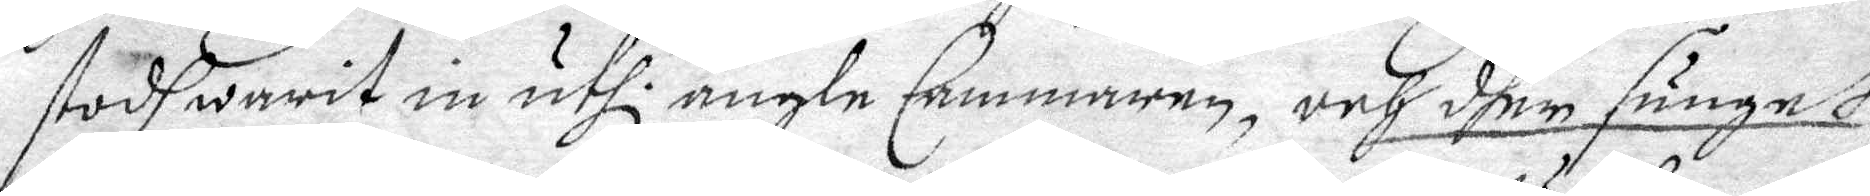stodh warit in uthi ängle Cammaren, och dher sunget
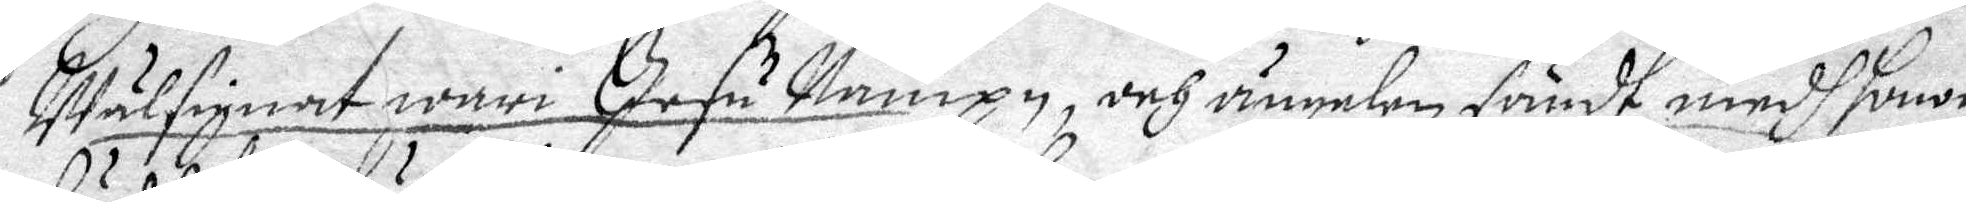Wälsignat wari Jesu Nampn, och ängelen sändt medh honom
